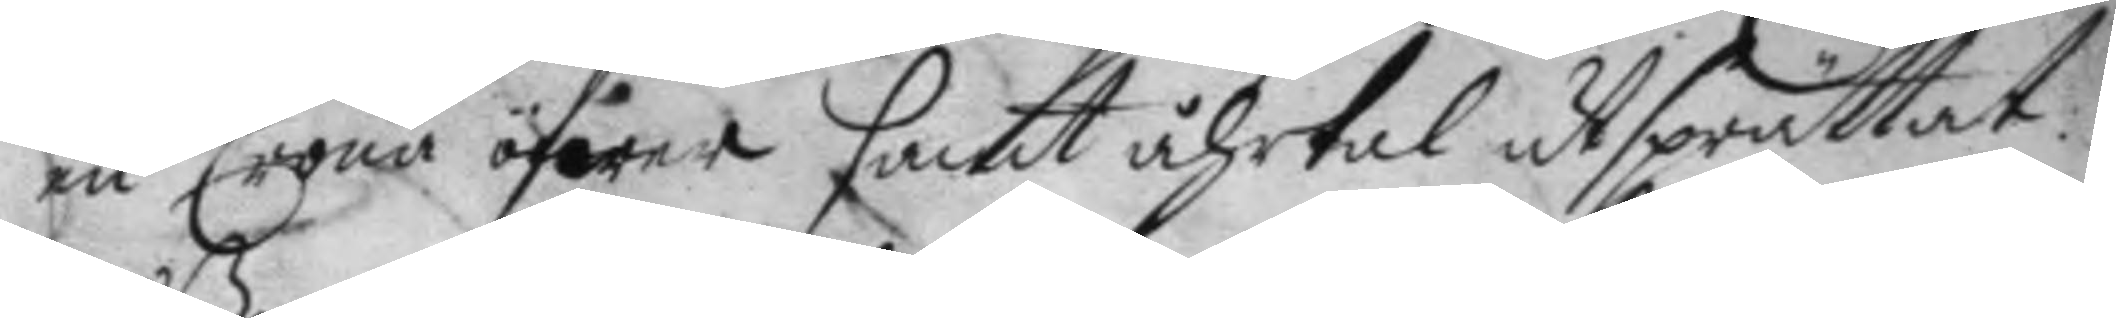en Crona öfwer samt åhrtal utsprättat.
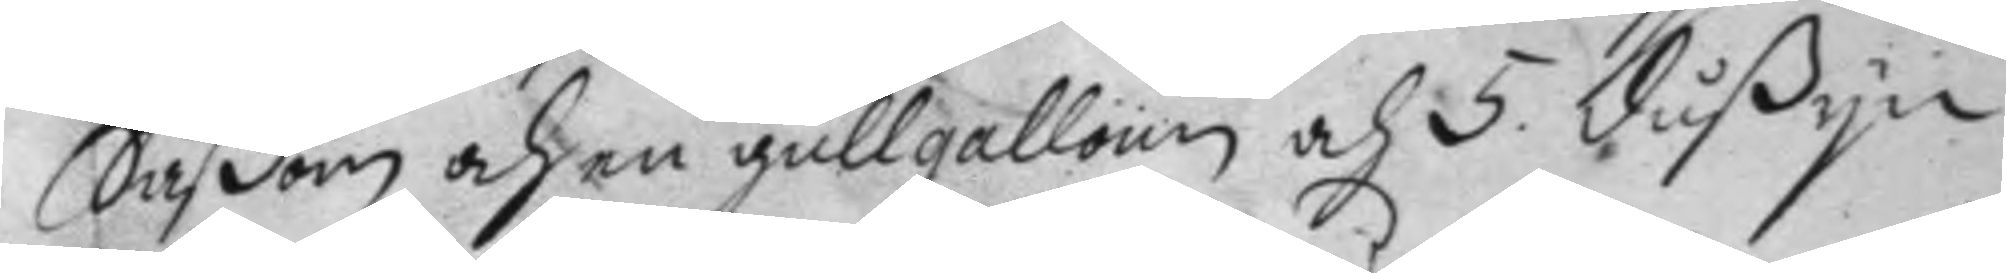Såßom och en gullgalloun och 5. dußyn
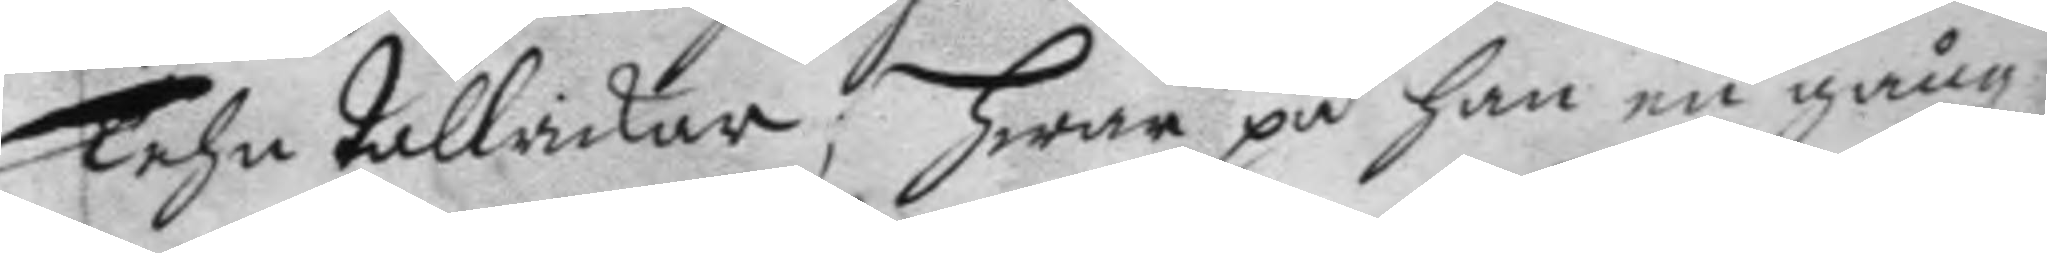Tehn tallrikar; hwar på han en gång
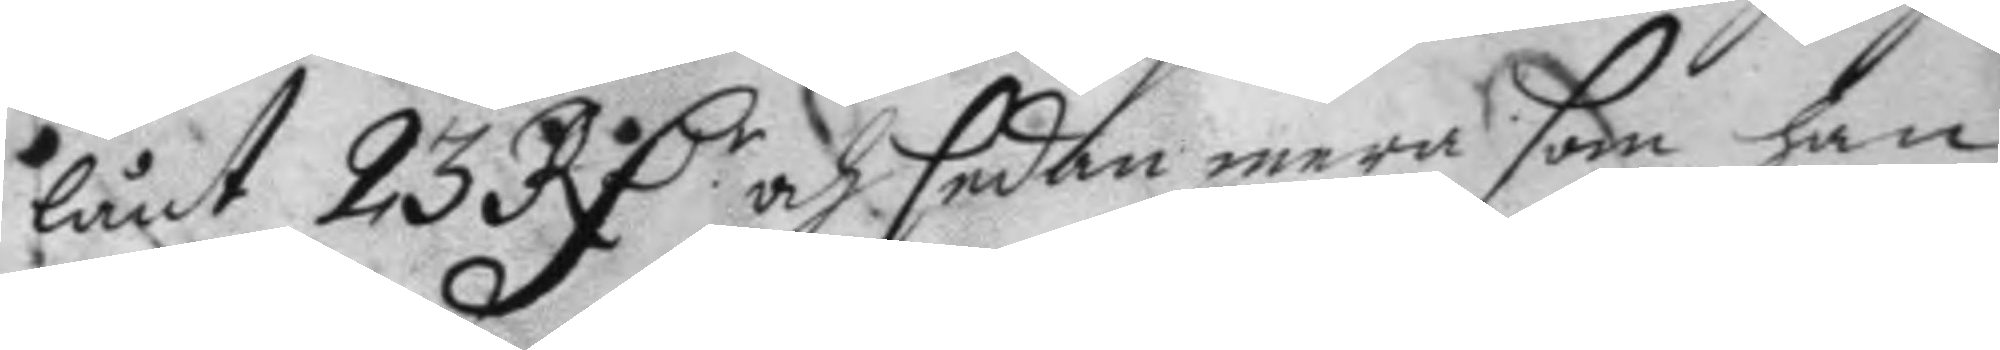lånt 23 RD.r och sedan mera som han 
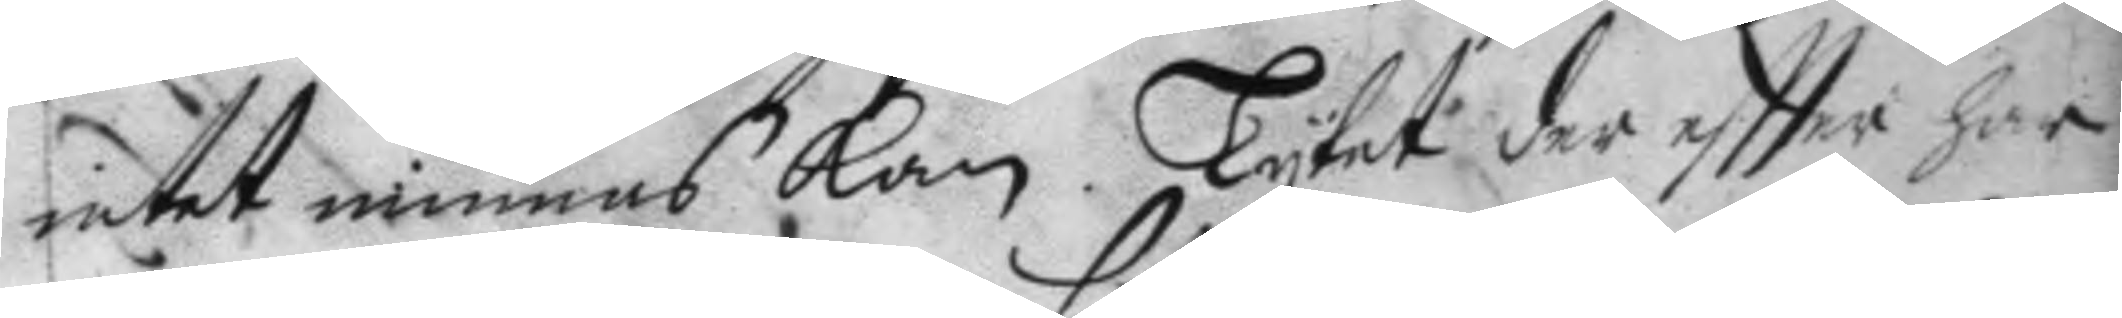intet minnas kan. Lytet der eftter har
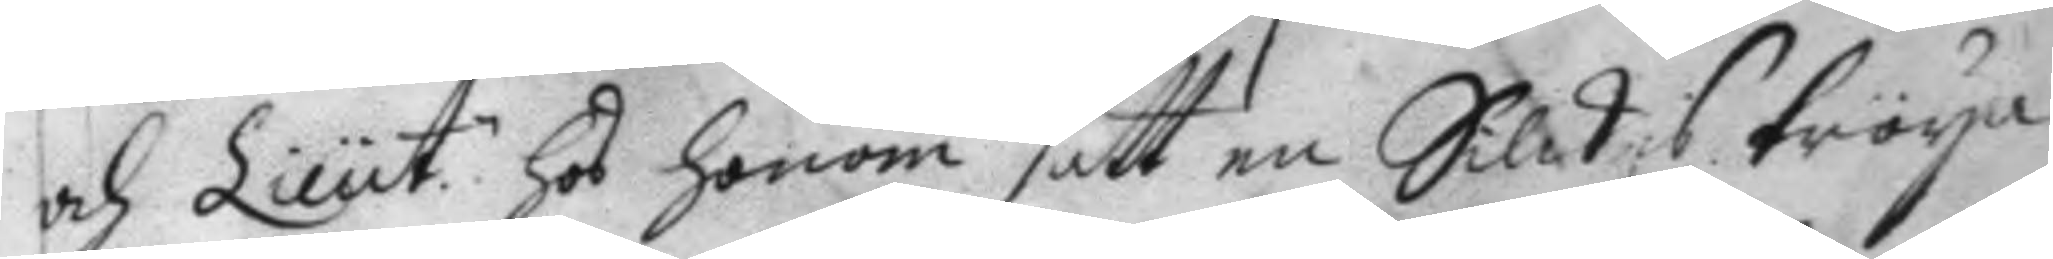och Lieut: hos honom satt en Silkes tröya 
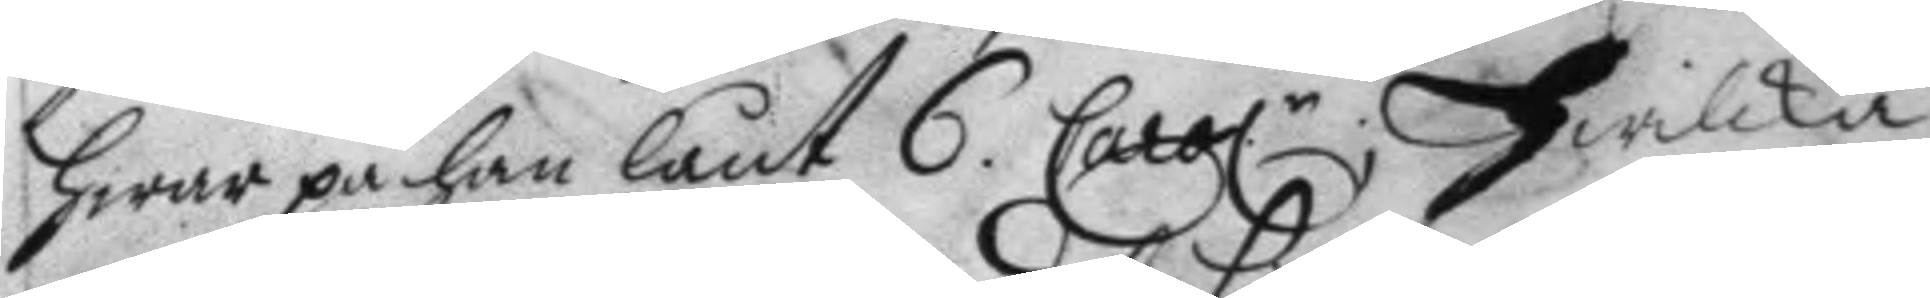hwar på han lånt 6 Carol.r Hwilka 
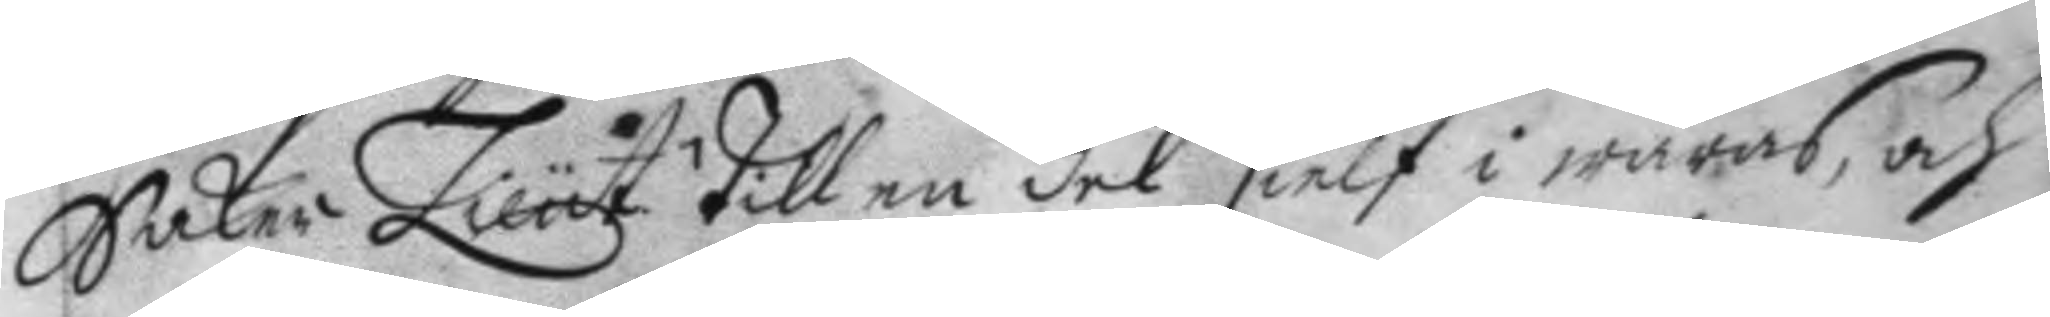Saker Lieut. till en del sielf i wåras, och
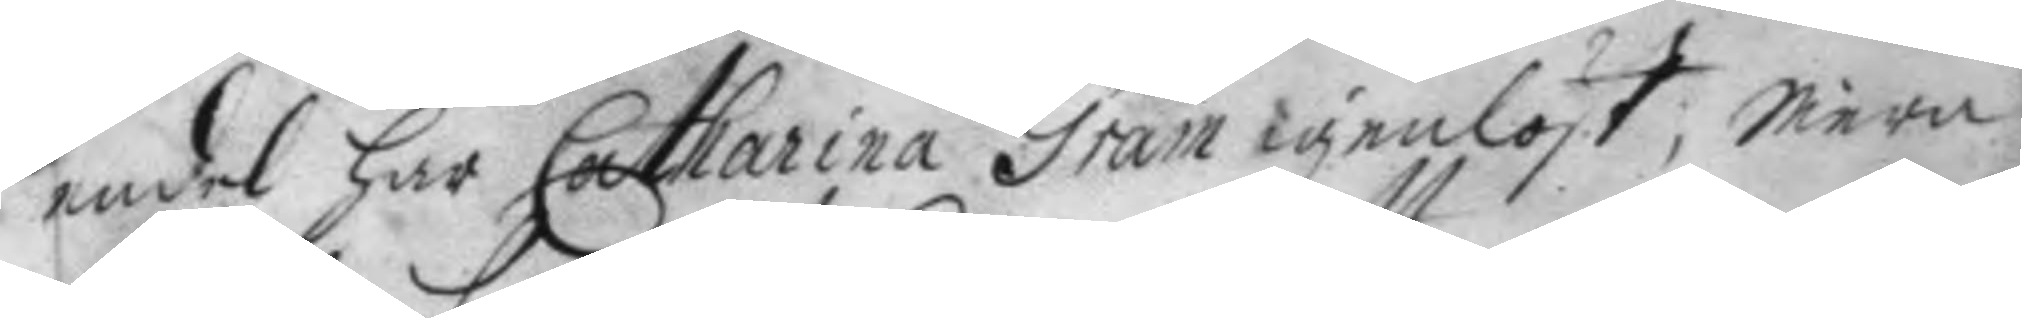endel har Catharina Gram igenlöst; Mera
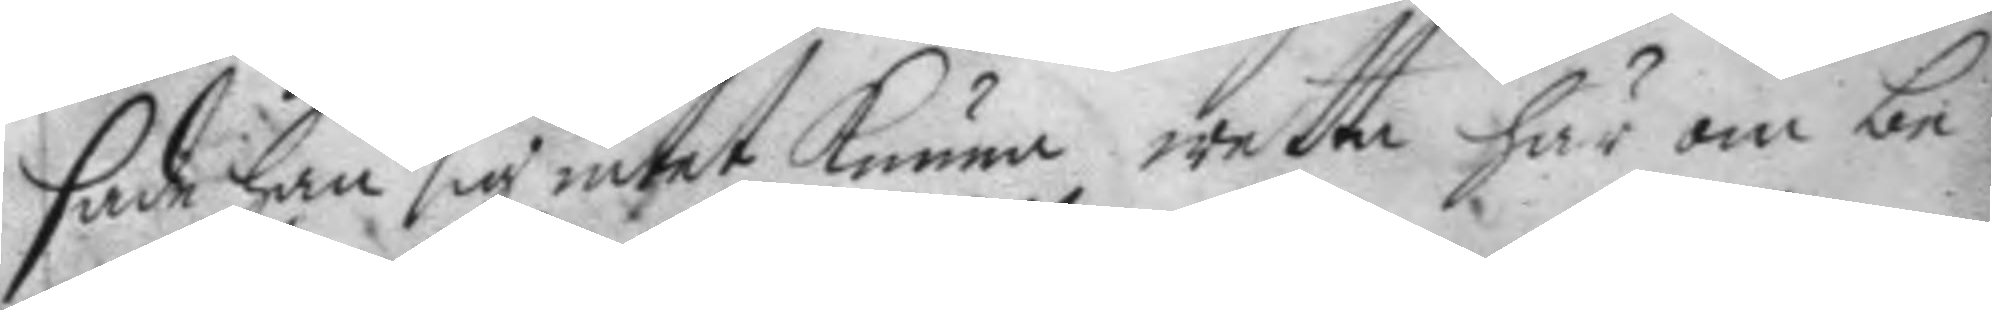sade han sig intet Kunna wetta här om be¬
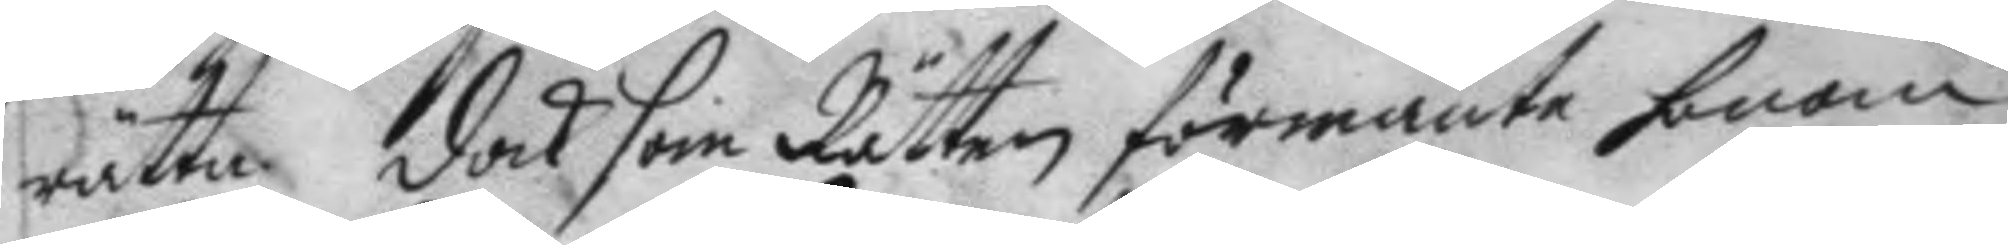rätta, dock som Rätten förmante honom
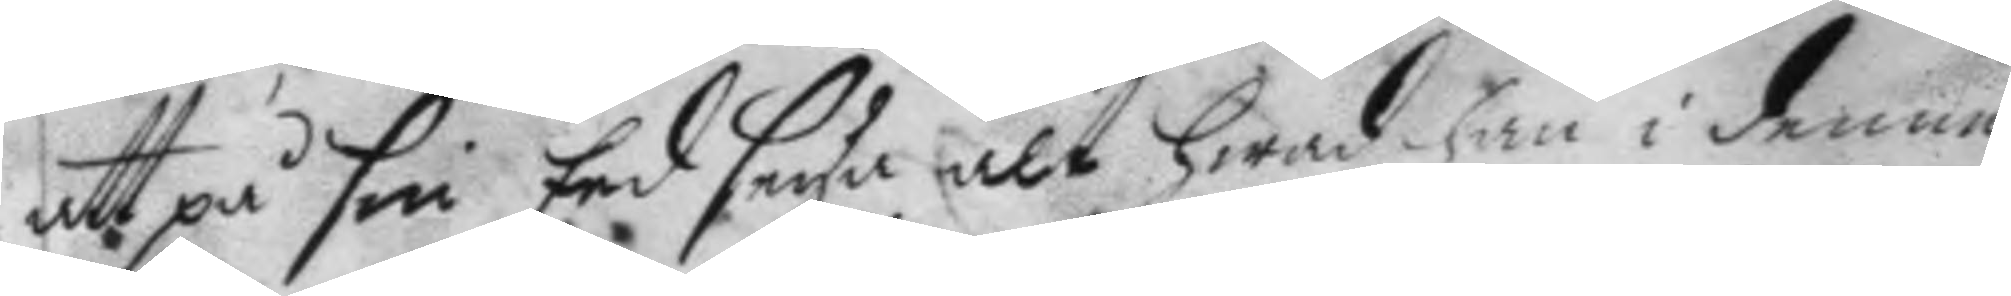att på sin Eed seya alt hwad han i denne
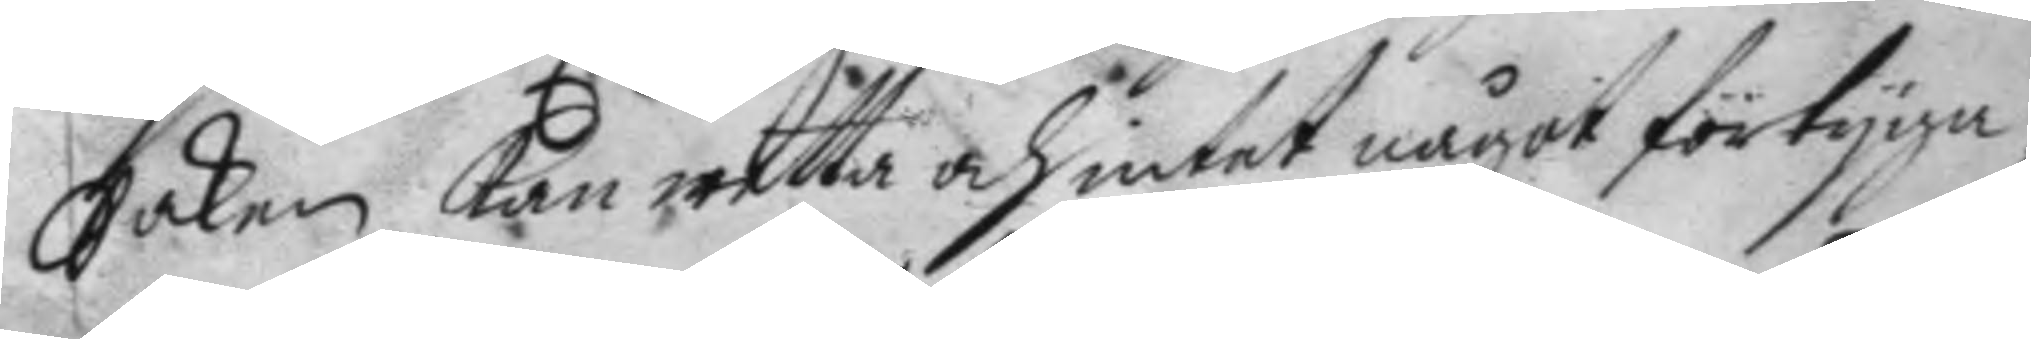Saken kan wetta och intet något förtyga,
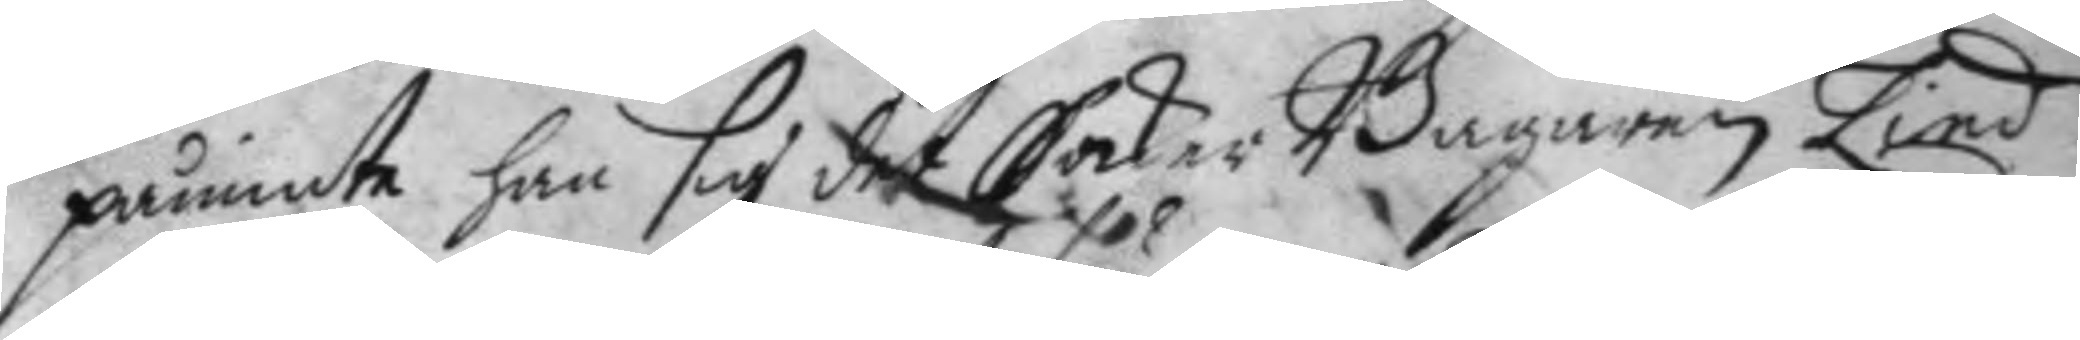påminte han sig det Saker Bagaren Lind
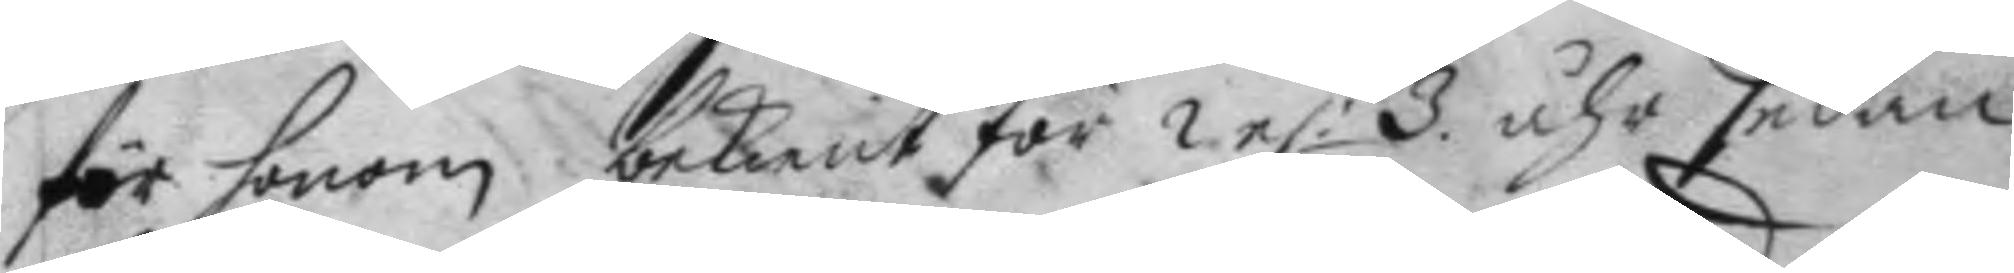för honom bekient för 2 e: 3 åhr sedan
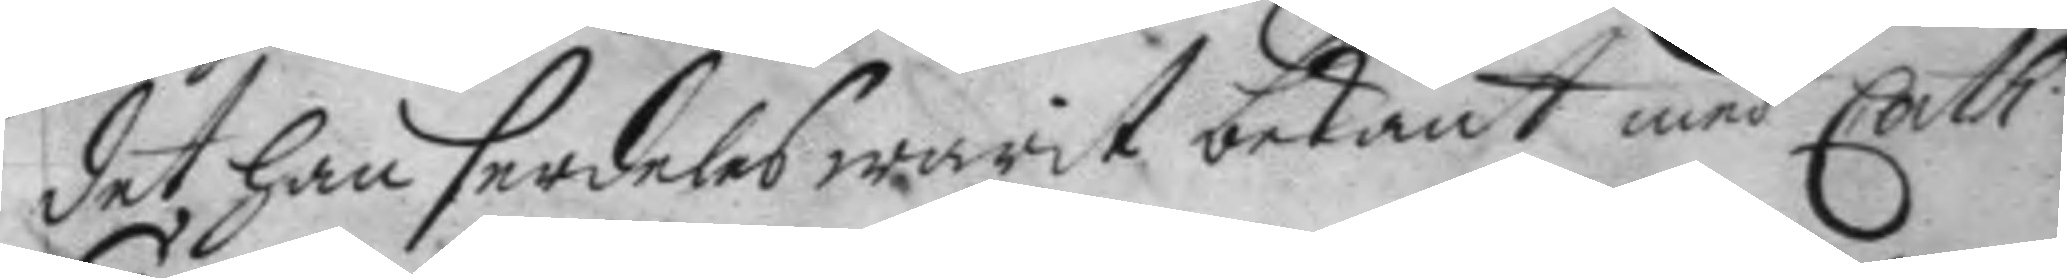det han serdeles warit bekant med Cath.
